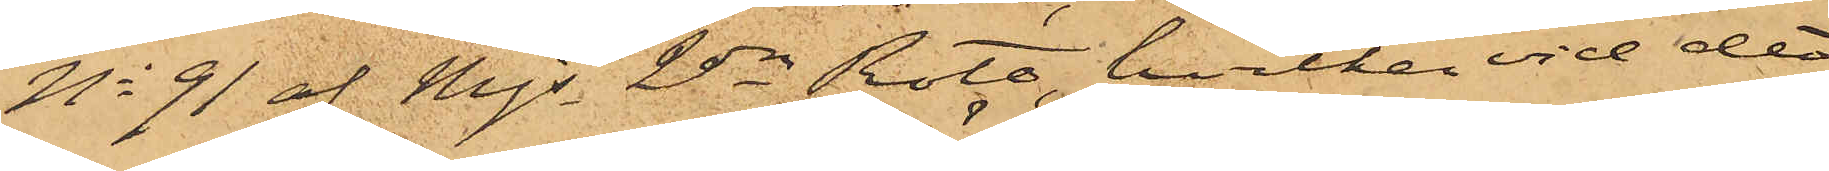No 91 af Mjs 2dra Rote, hvilken vid det
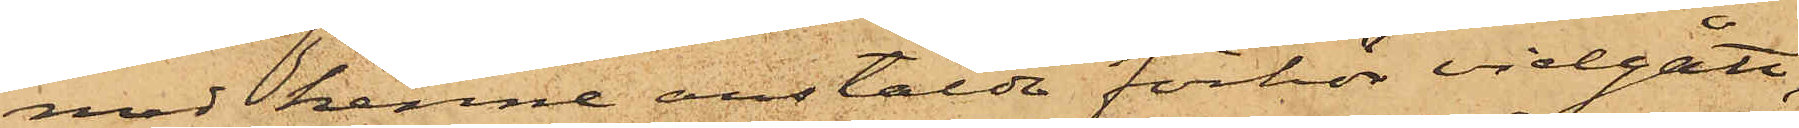med henne anstälda förhör vidgått,
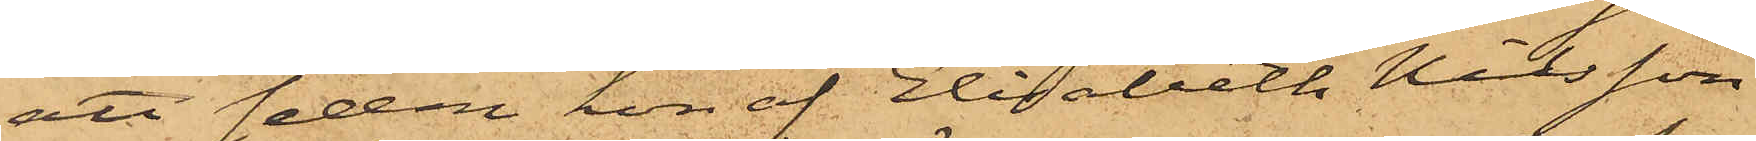att sedan hon af Elisabeth Nilsson
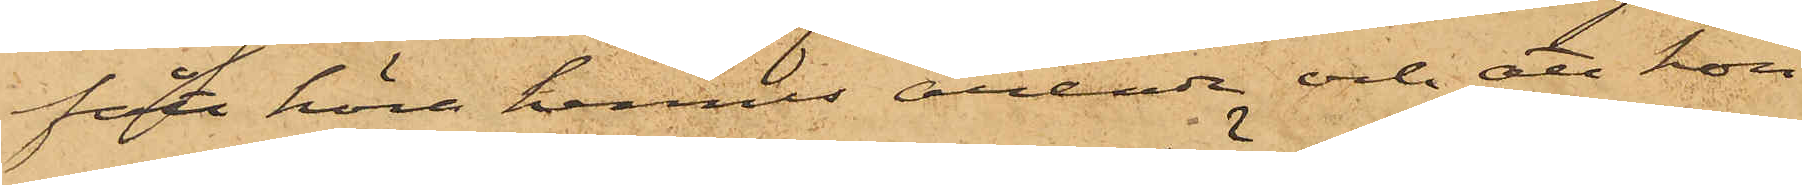fått höra hennes ärende och att hon
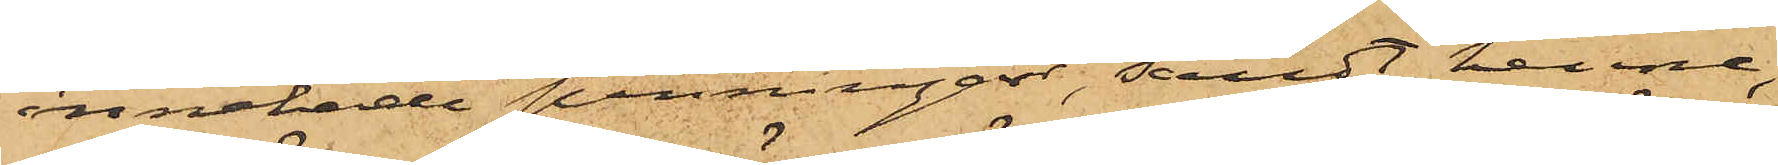innehade penningar, sändt henne,
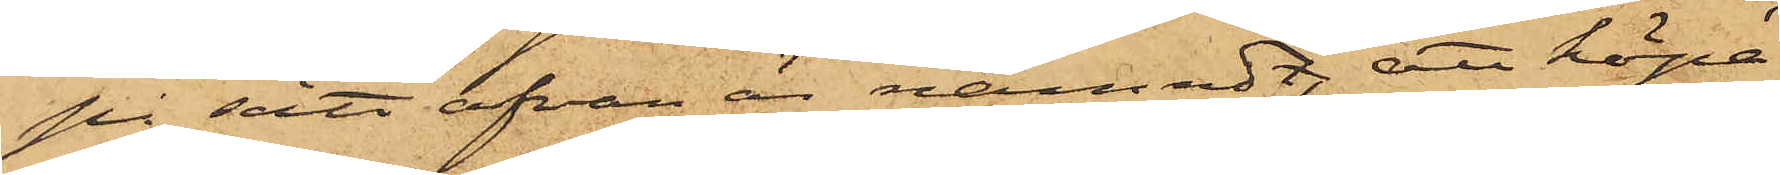på sätt ofvan är nämndt, att köpa
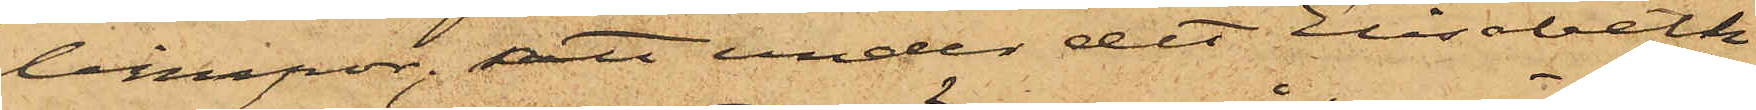limpor; att under det Elisabeth
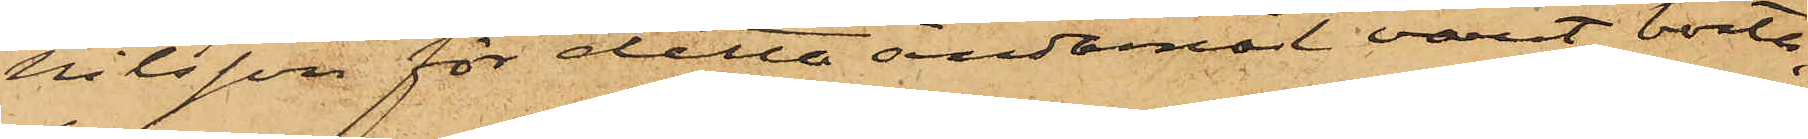Nilsson för detta ändamål varit borta,
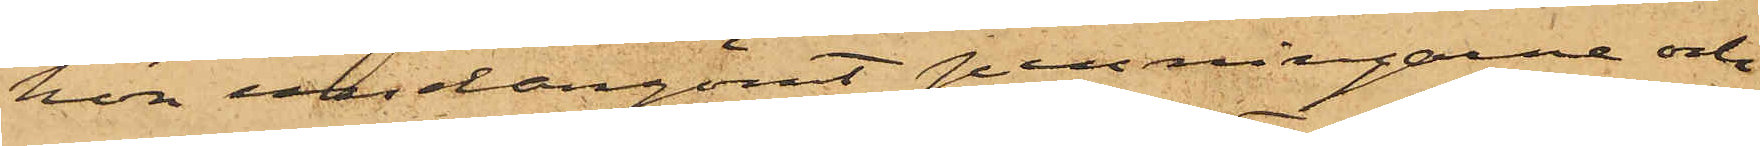hon undergömt penningarne och
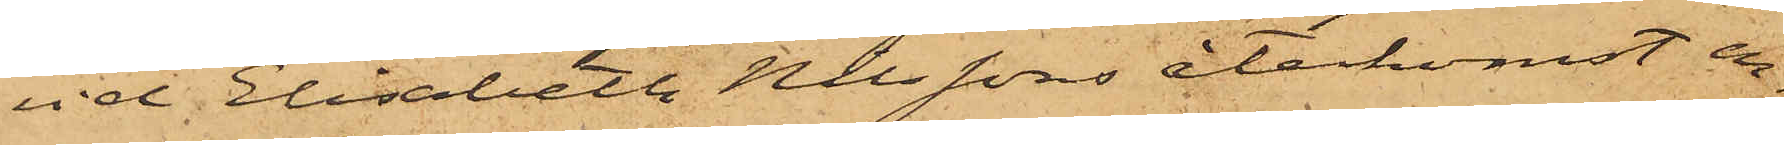vid Elisabeth Nilssons återkomst en¬
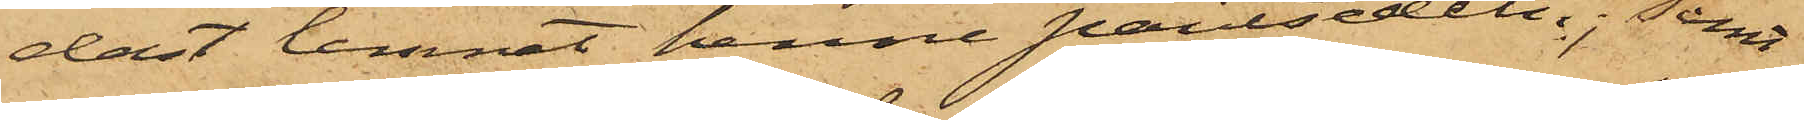dast lemnat henne pantsedeln; samt
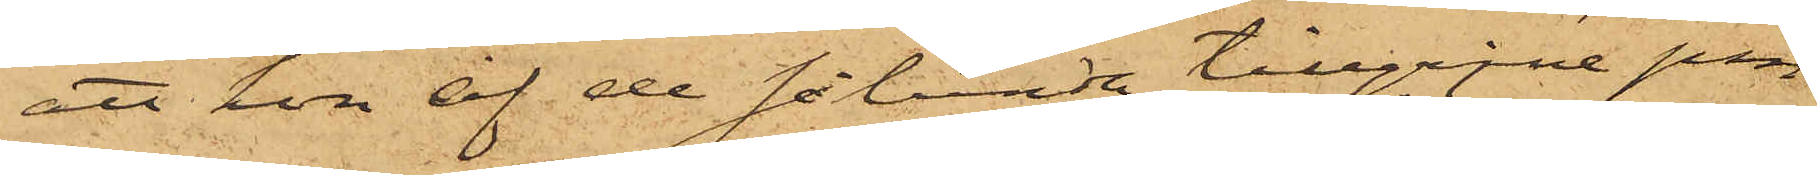att hon af de sålunda tillgripne pen¬
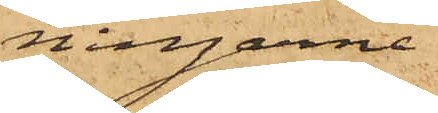ningarne
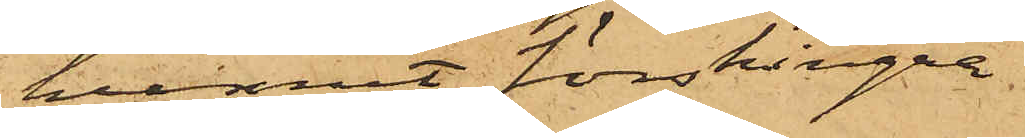hunnit förskingra
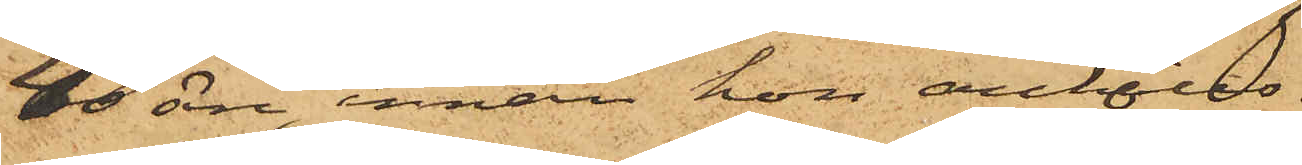40 öre, innan hon anhölls.
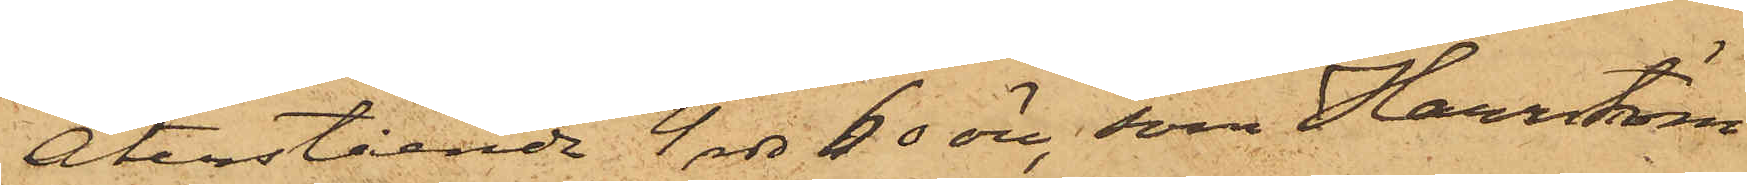Återstående 4 rdr 60 öre, som Harrström
